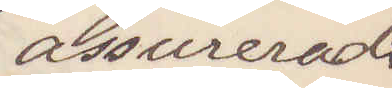assureradt
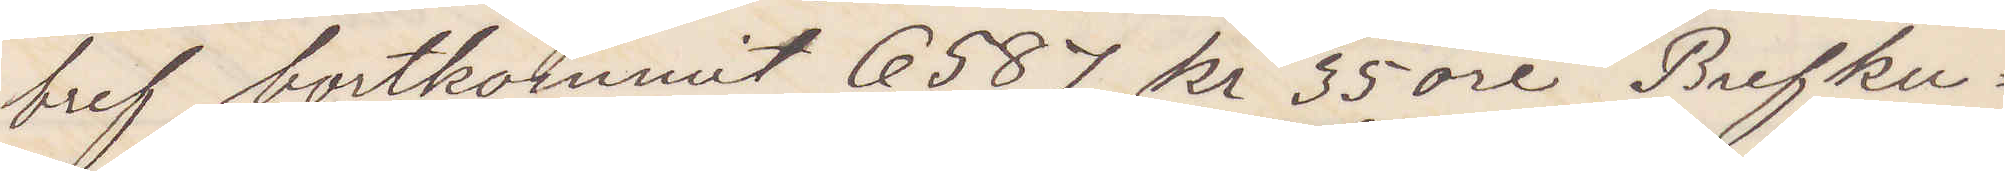bref bortkommit 6587 kr 35 öre Brefku¬
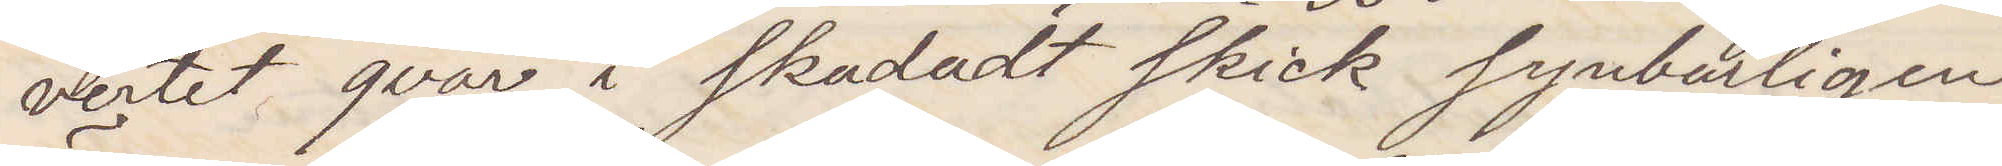vertet qvar i skadadt skick synbarligen
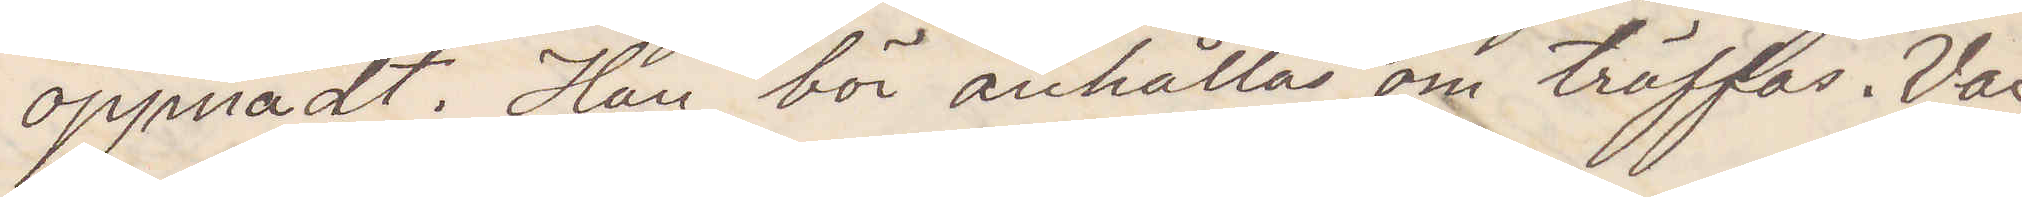öppnadt. Han bör anhållas om träffas. Var
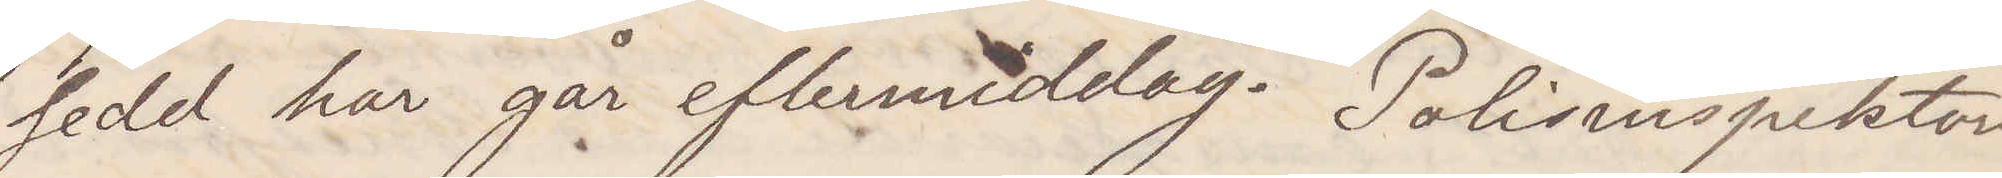sedd har går eftermiddag. Polisinspektorn
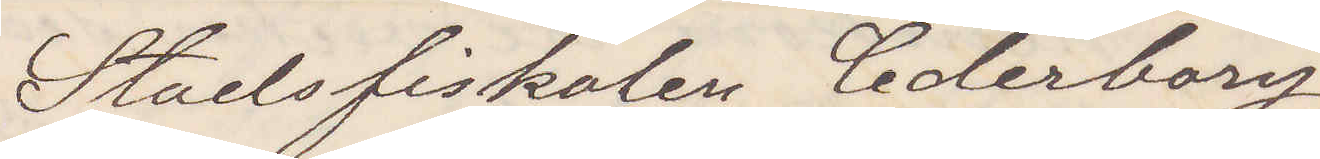Stadsfiskalen Cederborg
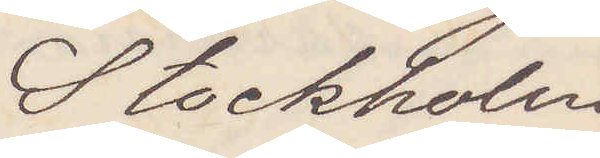Stockholm
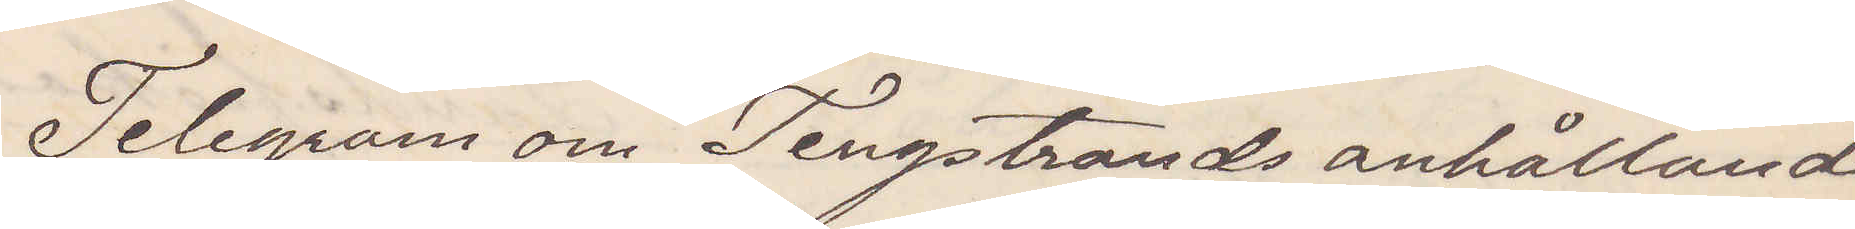Telegram om Tengstrands anhållande
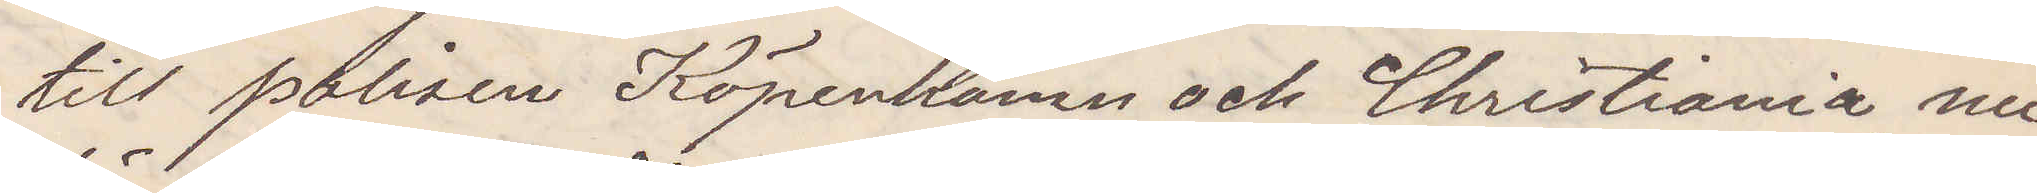till polisen Köpenhamn och Christiania nu
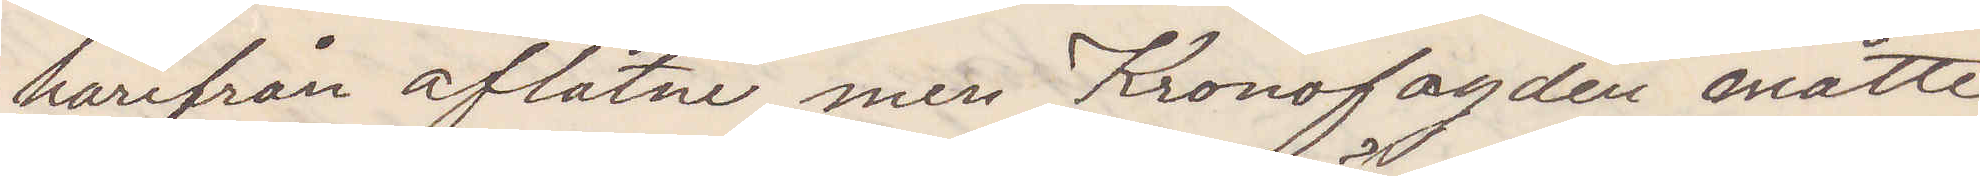härifrån aflåtne men Kronofogden måtte
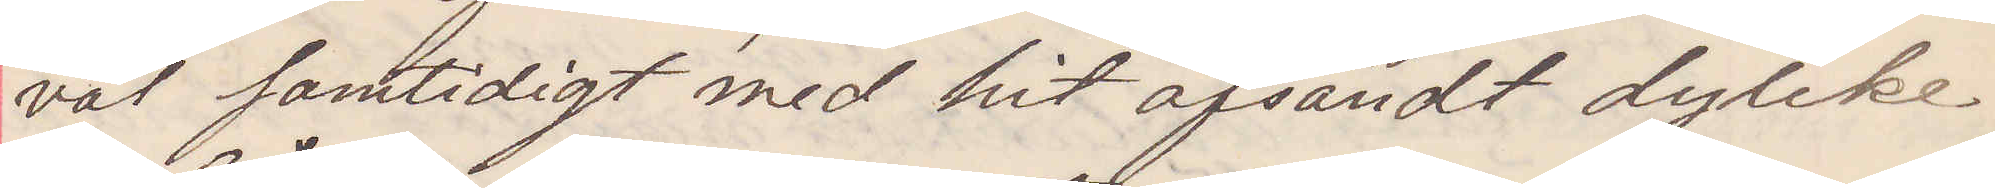väl samtidigt med hit afsändt dylike.
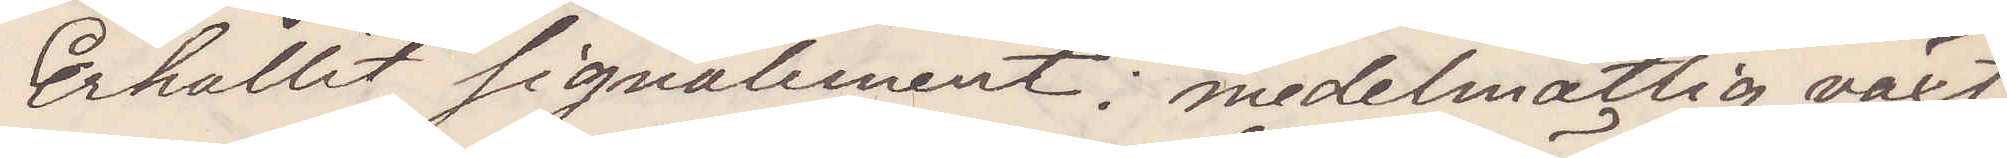Erhållit signalement: medelmåttig växt
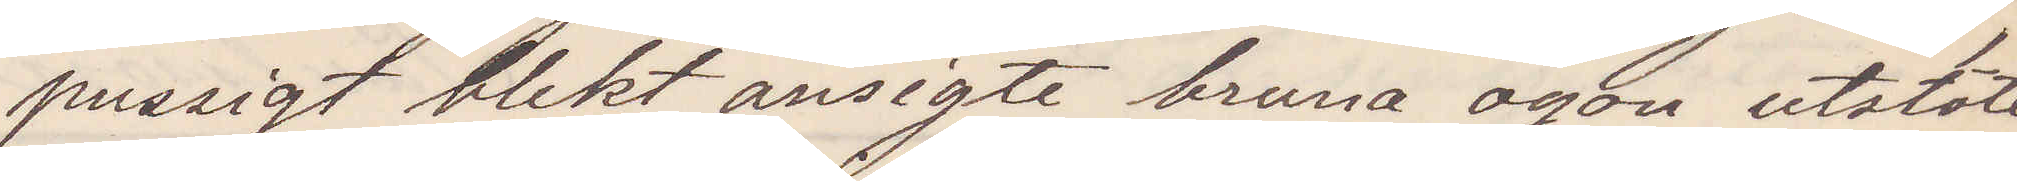pussigt blekt ansigte bruna ögon utstöter
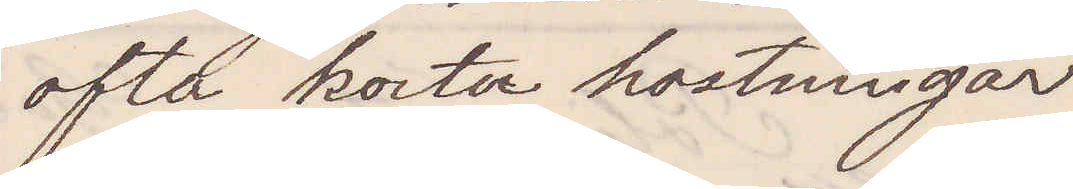ofta korta hostningar
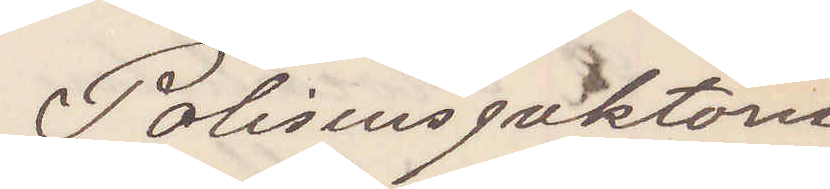Polisinspektorn
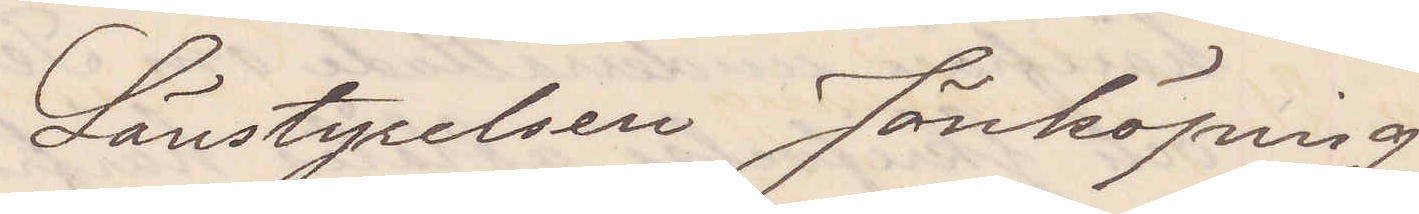Länsstyrelsen Jönköping
